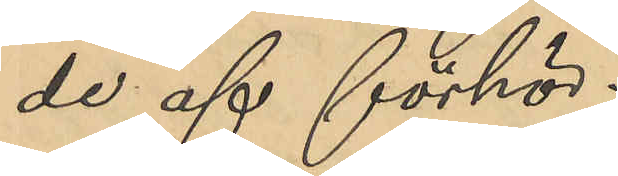de af förhör.
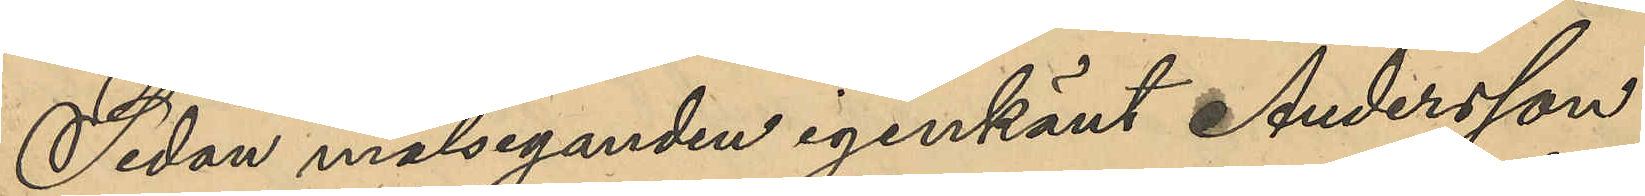Sedan målseganden igenkänt Andersson
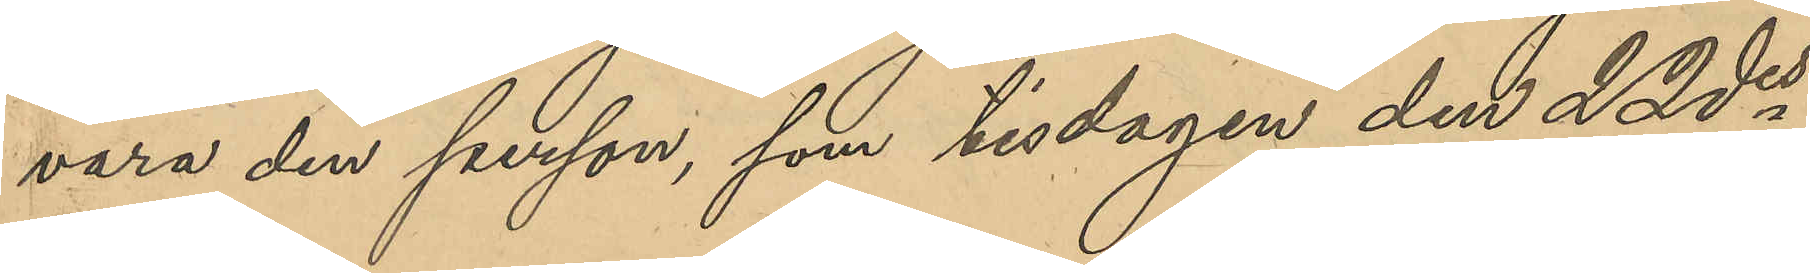vara den person, som tisdagen den 22 des
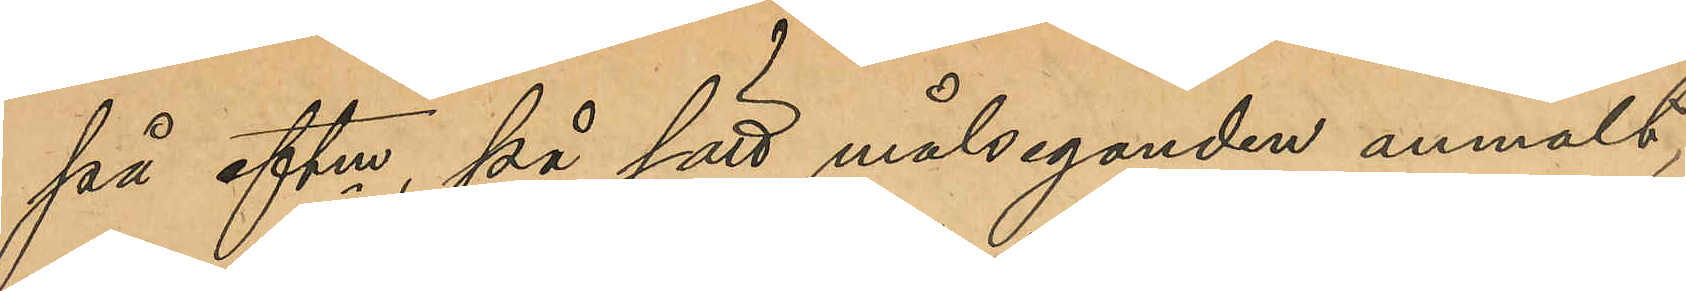på eftm, på sätt målseganden anmält,
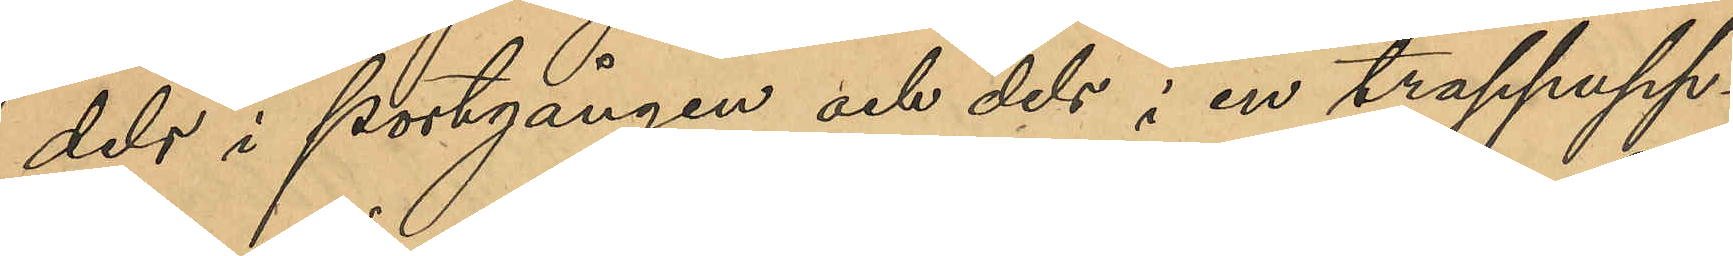dels i portgången och dels i en trappupp¬
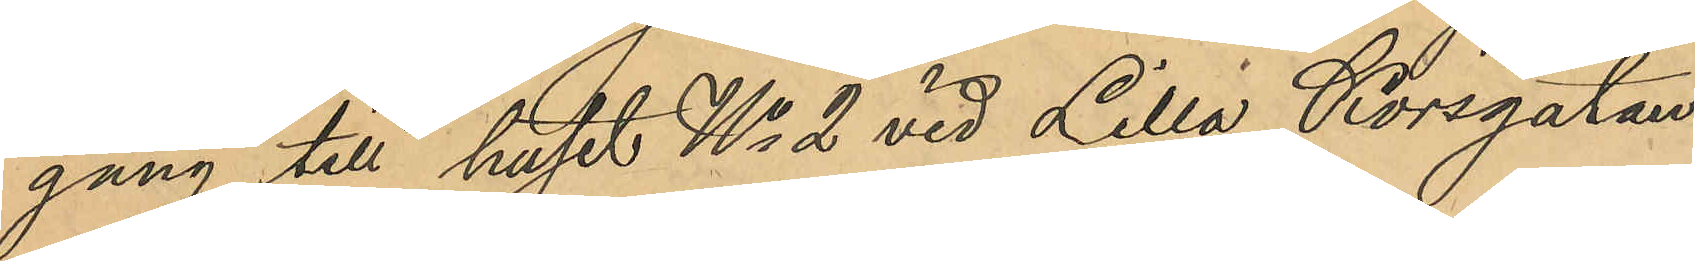gång till huset No 2 vid Lilla Korsgatan
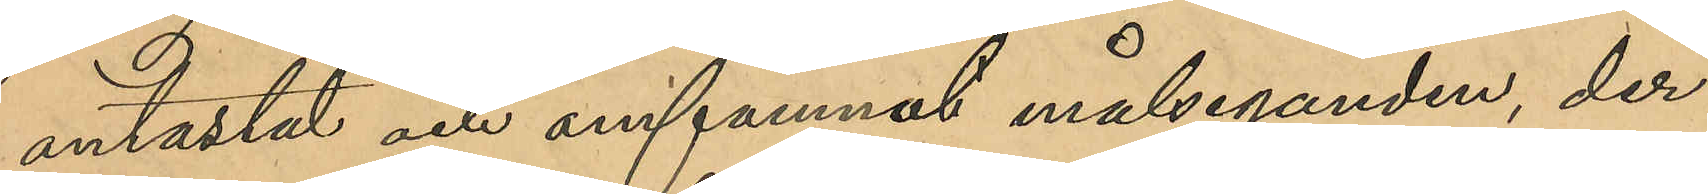antastat och omfamnat målseganden, der¬
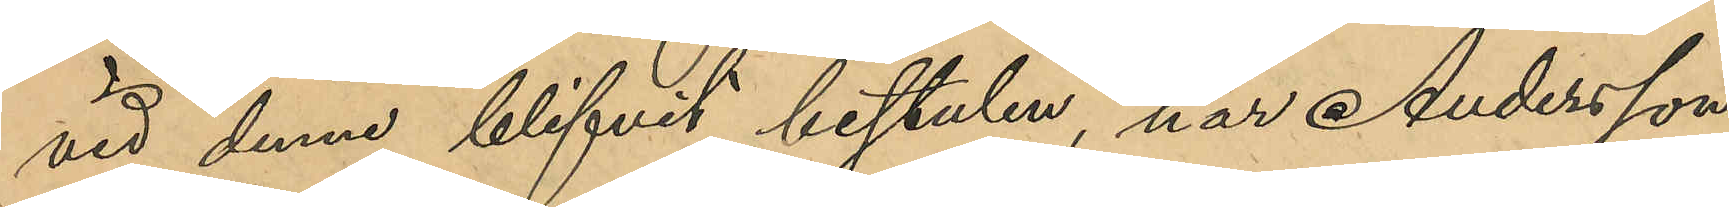vid denne blifvit bestulen, har Andersson
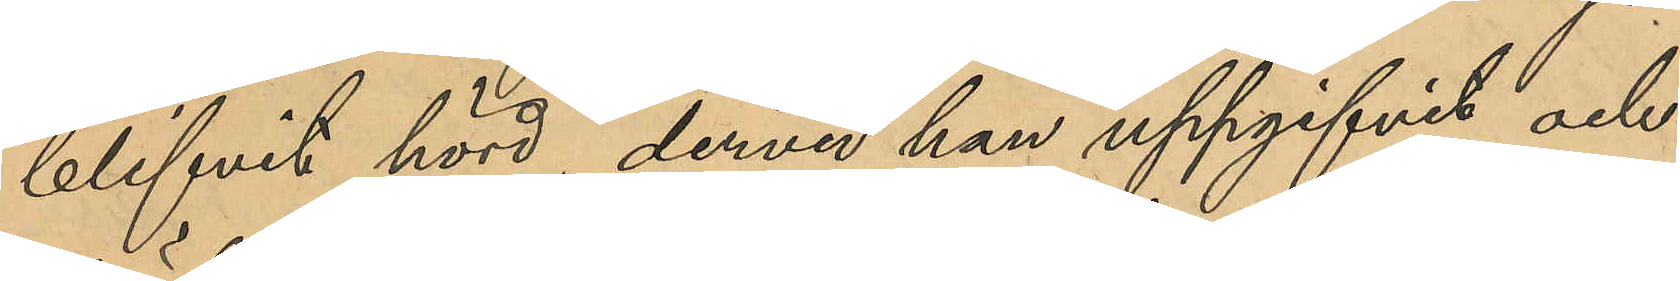blifvit hörd, dervid han uppgifvit och
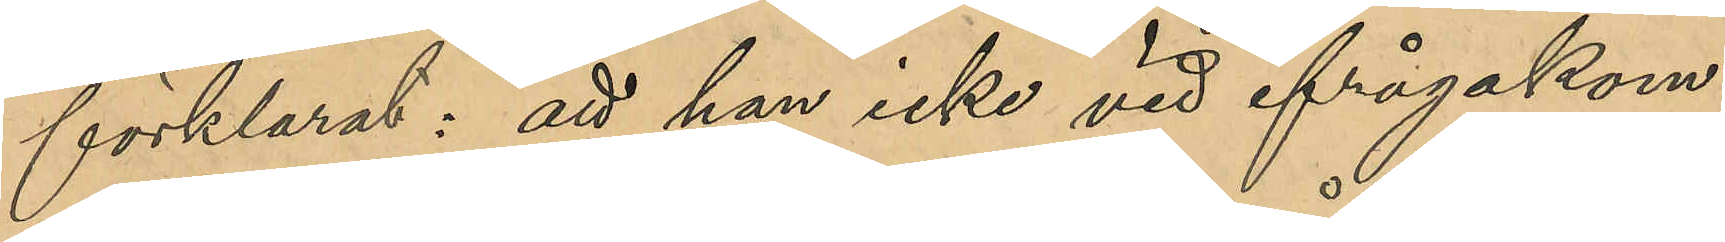förklarat: att han icke vid ifrågakom¬
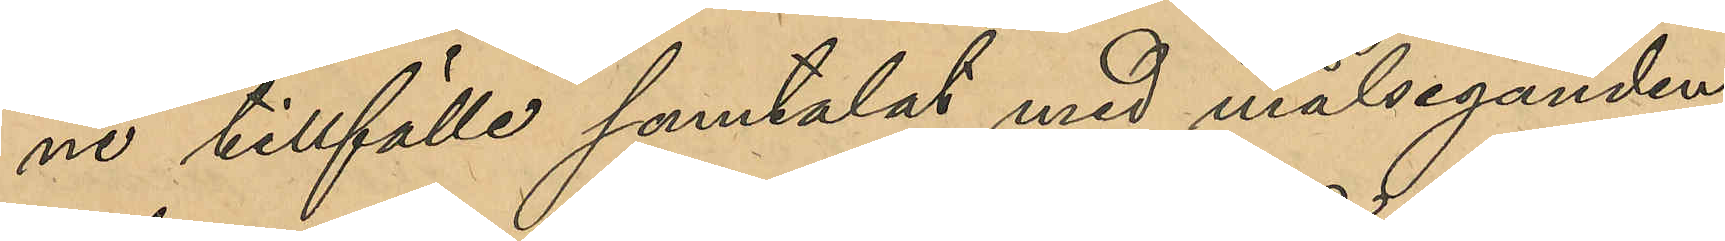ne tillfälle samtalat med målseganden
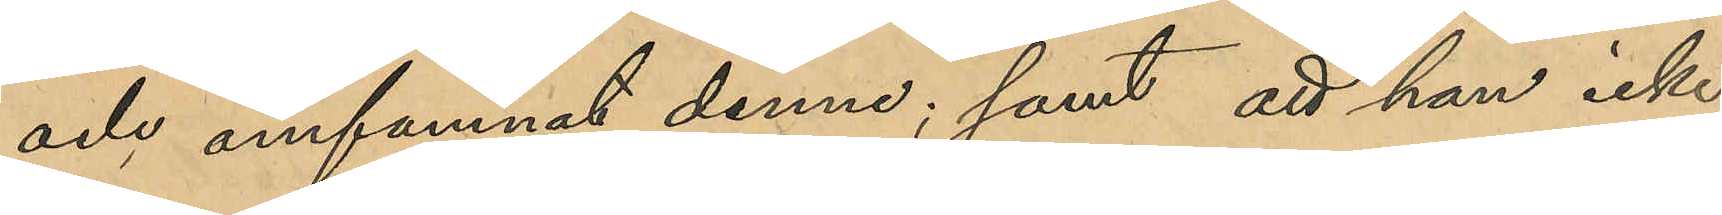och omfamnat denne; samt att han icke
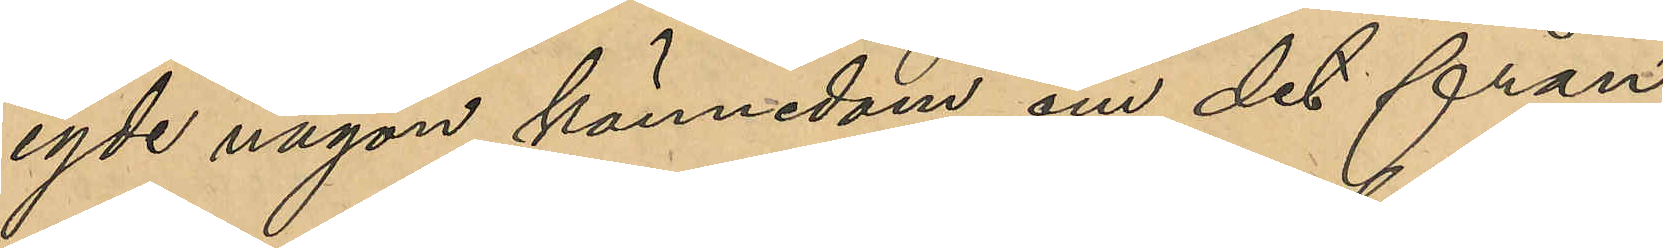egde någon kännedom om det från
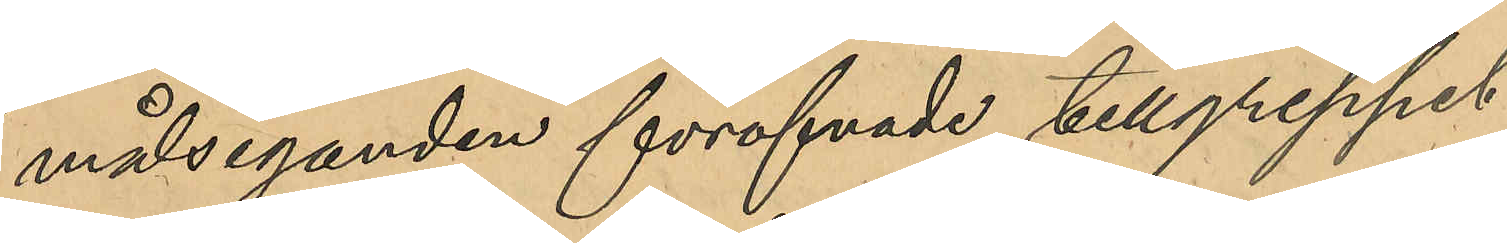målseganden föröfvade tillgreppet.
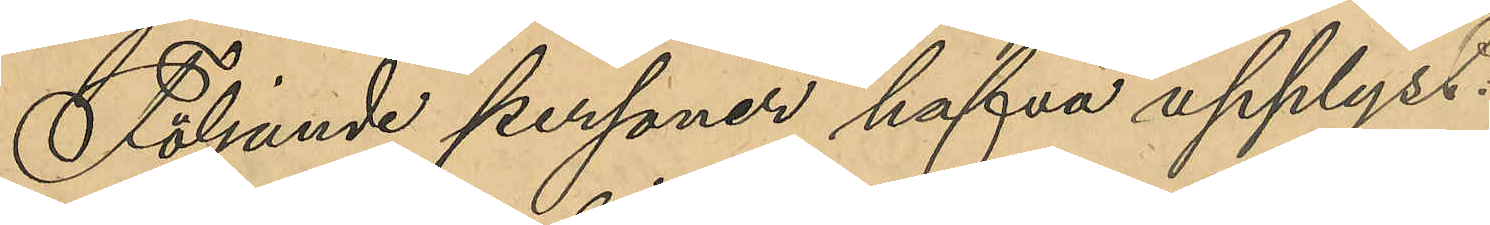Följande personer hafva upplyst:
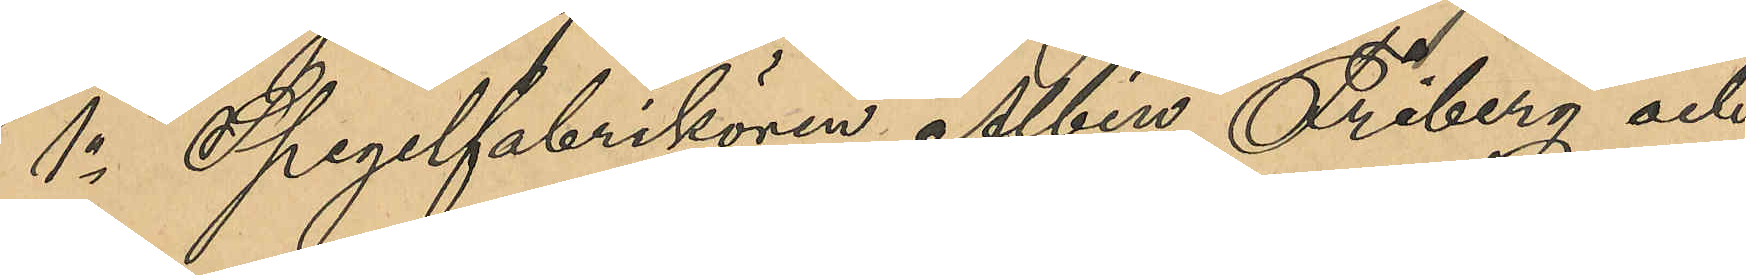1o Spegelfabrikören Albin Friberg och 
